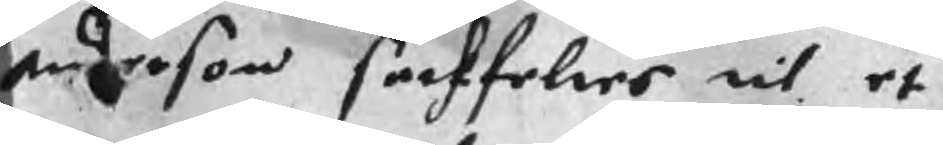anderson seckfelres til et
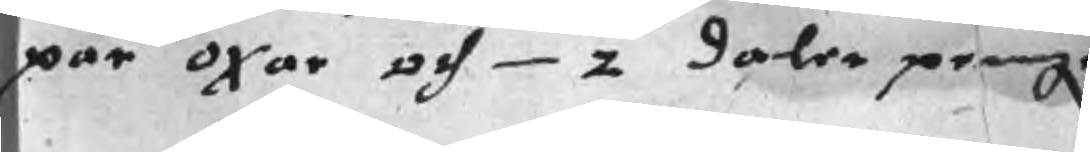par oxar och 2 daler peningr
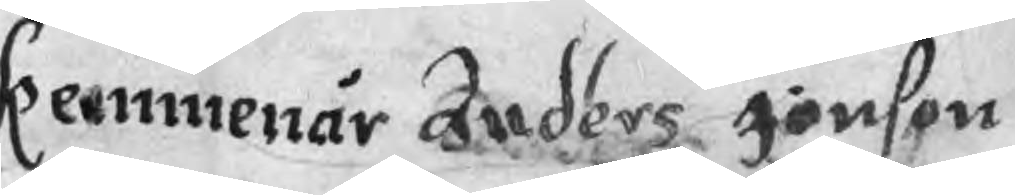Kemmenär Anders Jönson
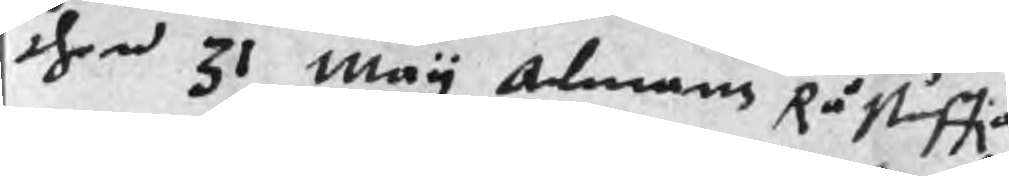then 31 May Almans Råstuffia
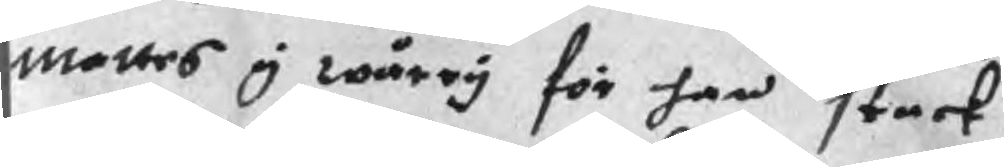mattes y wårry för han stack
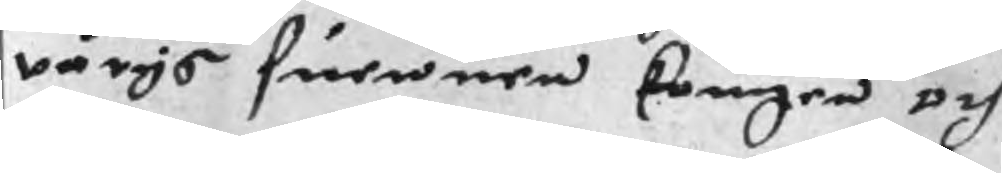wärjs suennen kougen och
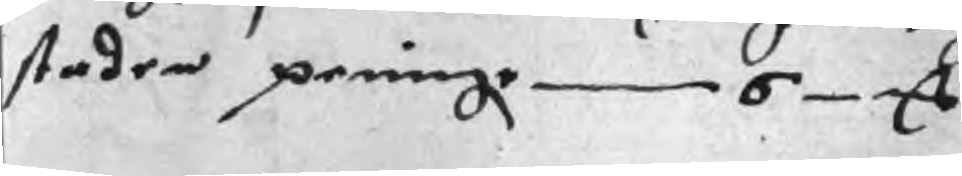staden peningr 6 mC
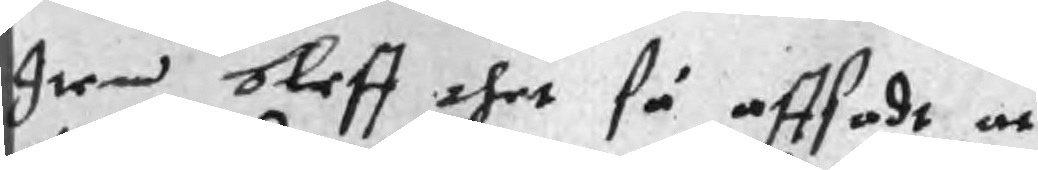Item bleff thet så affsadt at
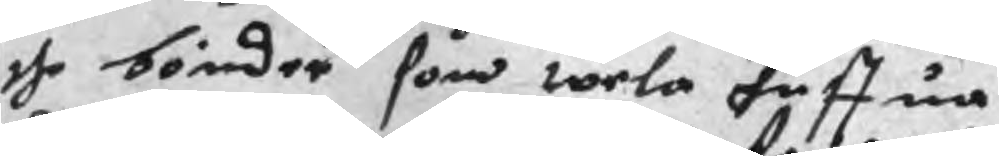the bönder som wela huffua
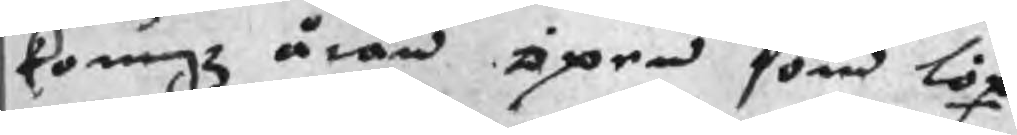koungz åran öpen som löp
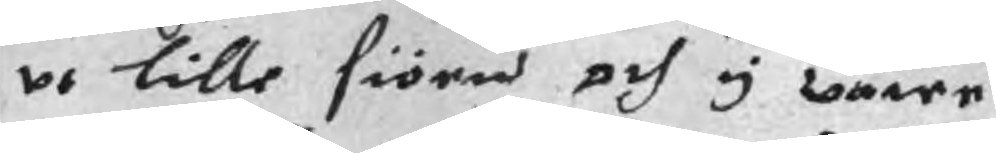ut lille siöen och y wåren
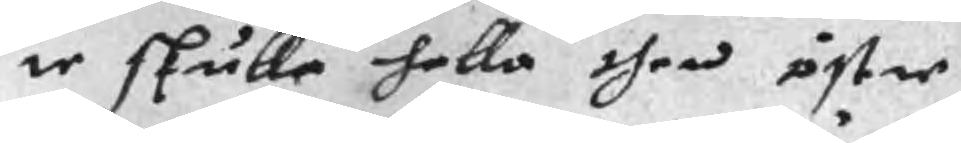te skulle hella then östre
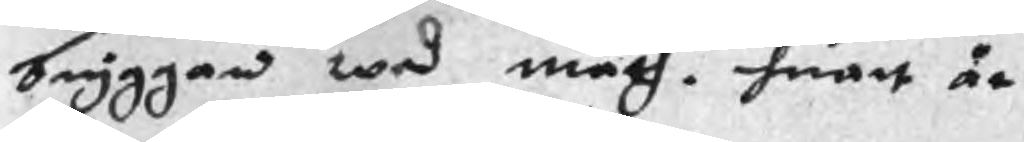bryggan wed mach. huart år
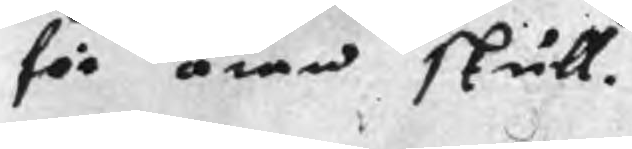för åren skull.
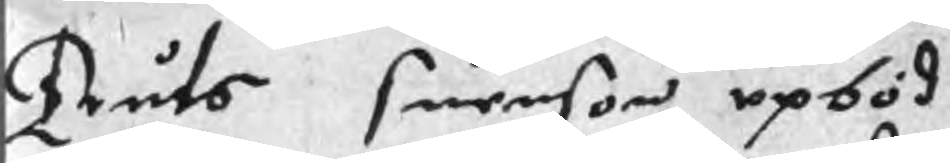Truts Suenson upböd
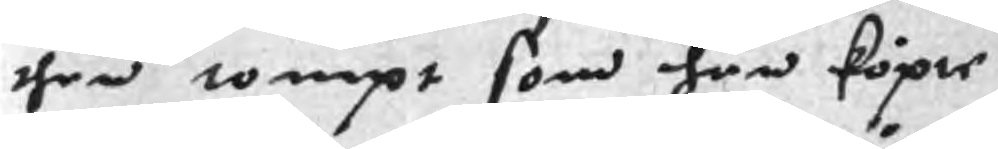then tompt som han köpie
